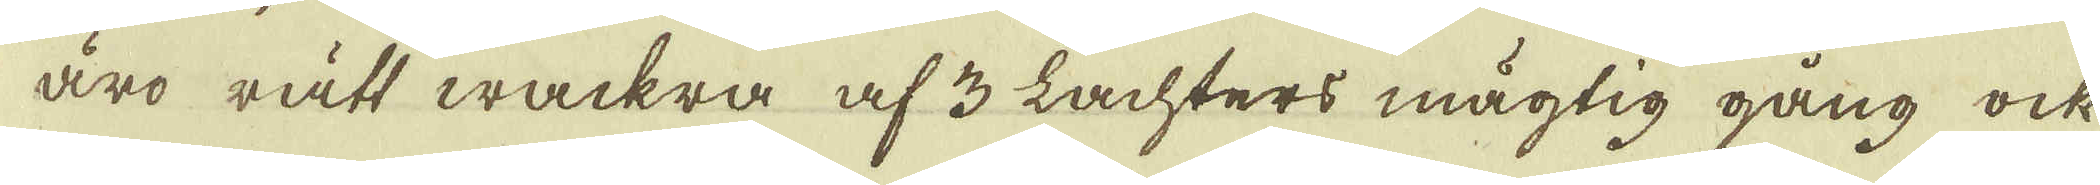äro rått wackra af 3 Lachters mägtig gång ock
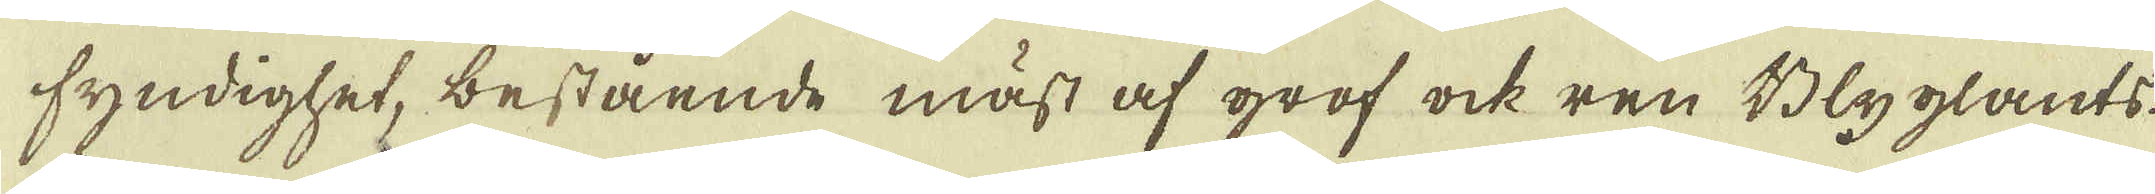fyndighet, bestående mäst af grof ock ren Blyglants.
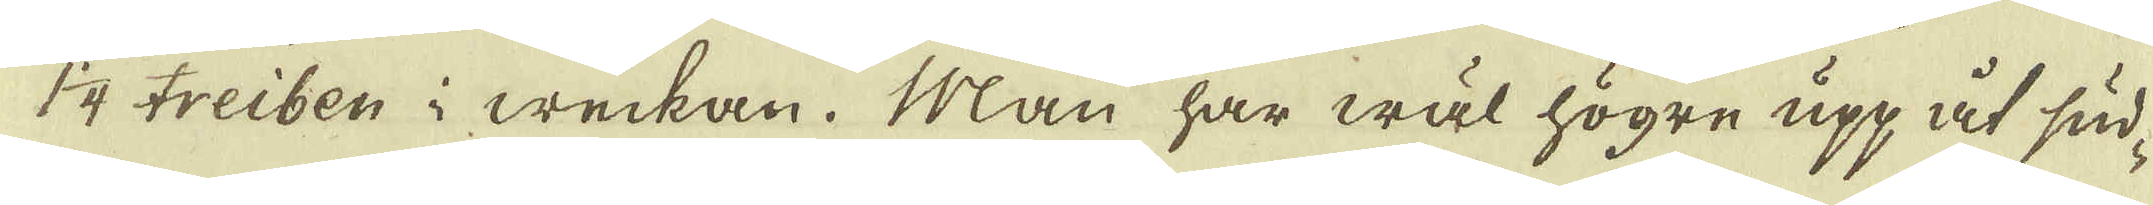1 1/4 treiben i weckan. Man har wäl högre upp åt sud-
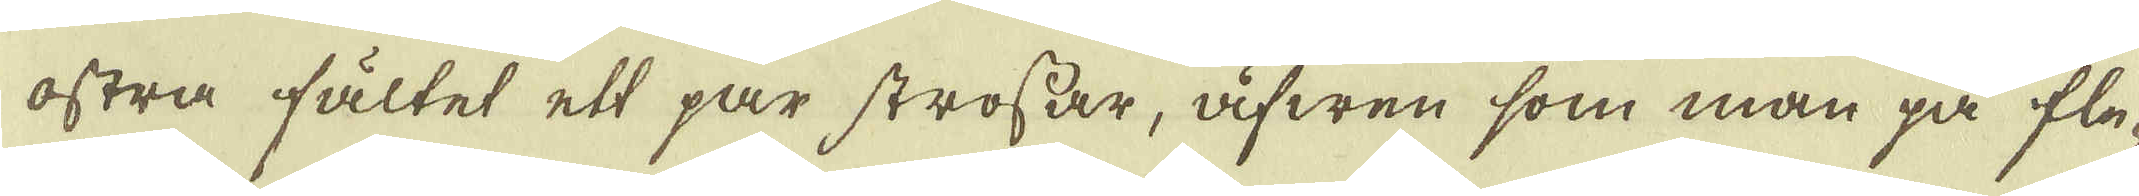ostra fältet ett par strossar, äfwen som man på fle-
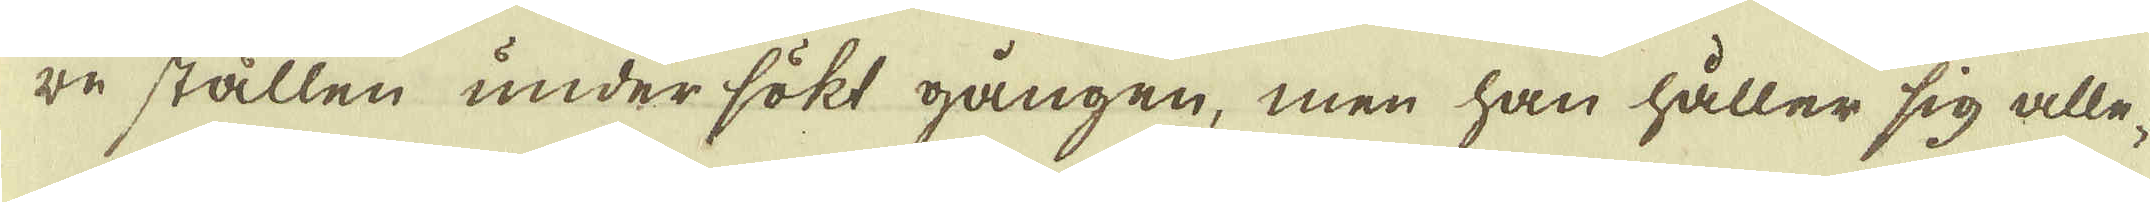re ställen undersökt gången, men han håller sig alle-
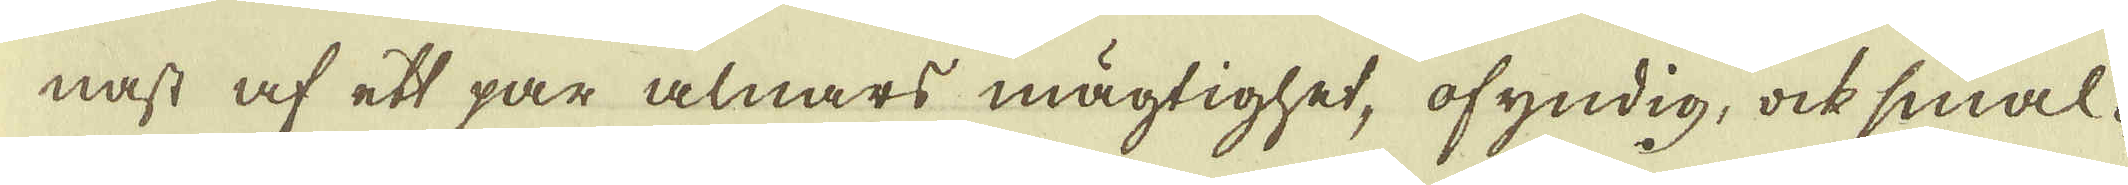nast af ett par alnars mägtighet, ofyndig, ock smal-
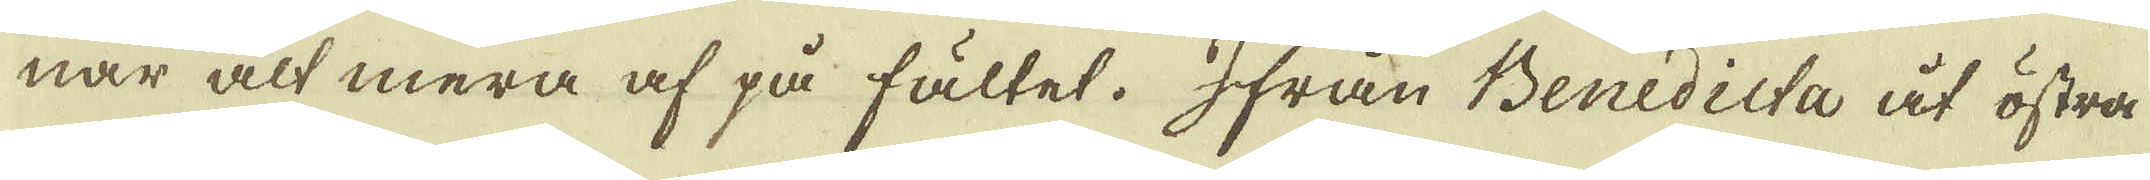nar alt mera af på fältet. Ifrån Benedicta åt östra
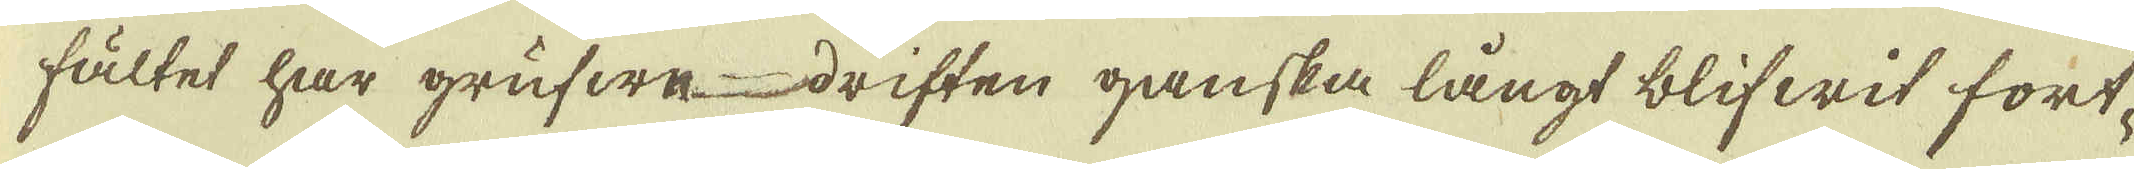fältet har grufwedriften ganska långt blifwit fort-
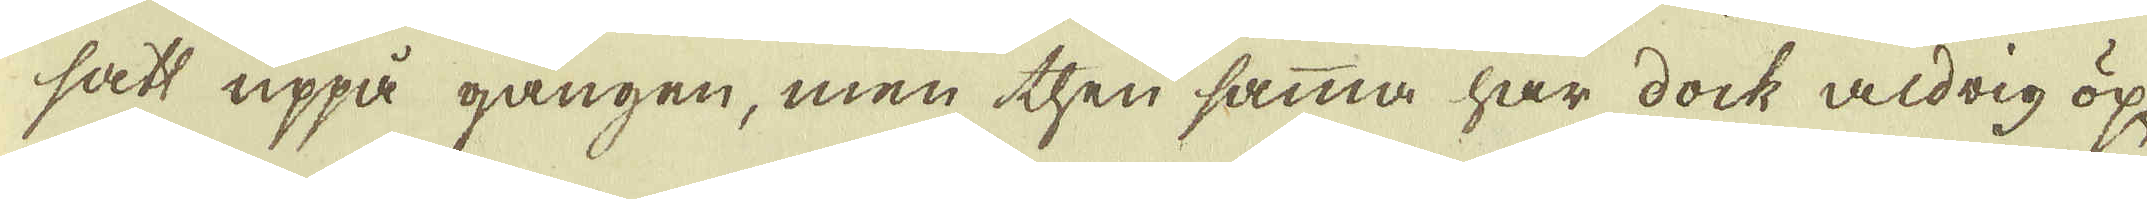satt uppå gången, men then samma har dock aldrig öp-
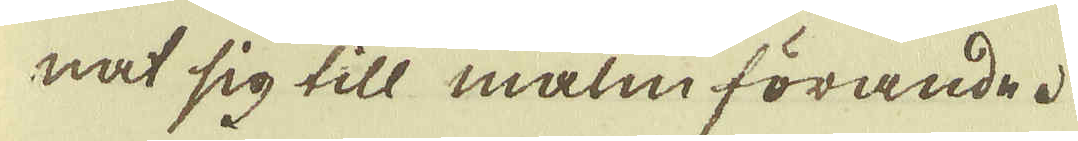nat sig till malm förande.
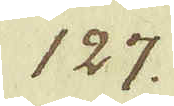127.
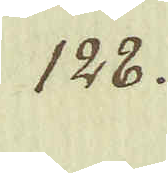128.
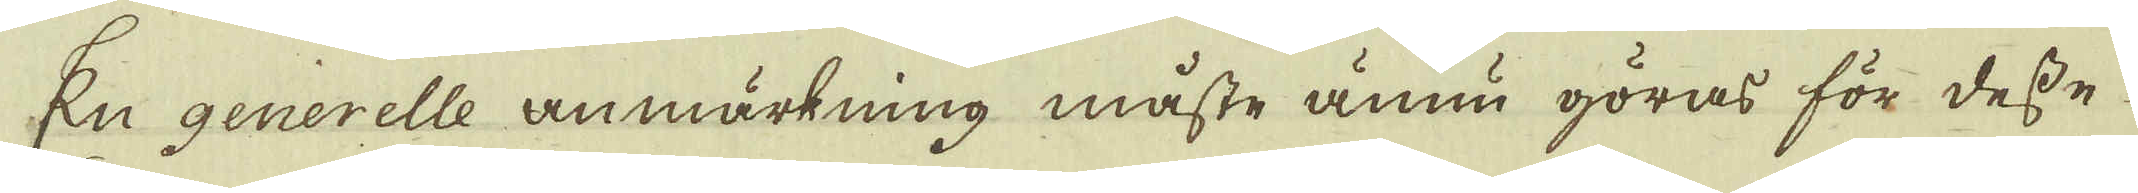En generelle anmärkning måste ännu göras för desse
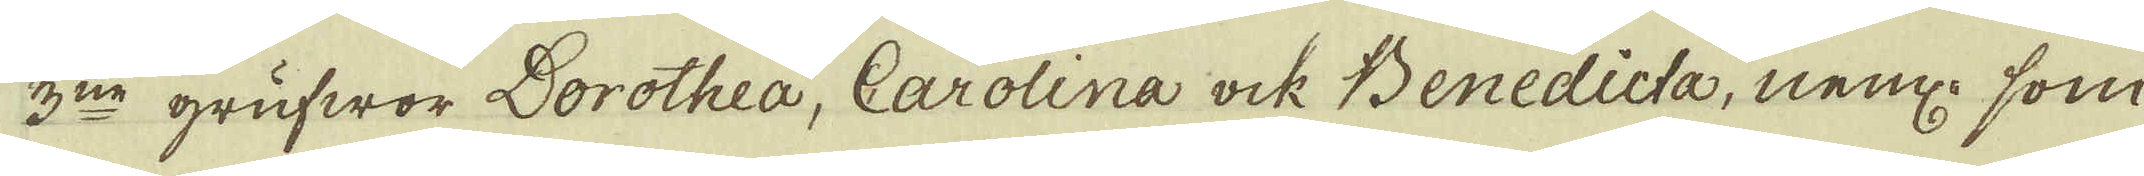3:ne grufwor Dorothea, Carolina ock Benedicta, nem: som
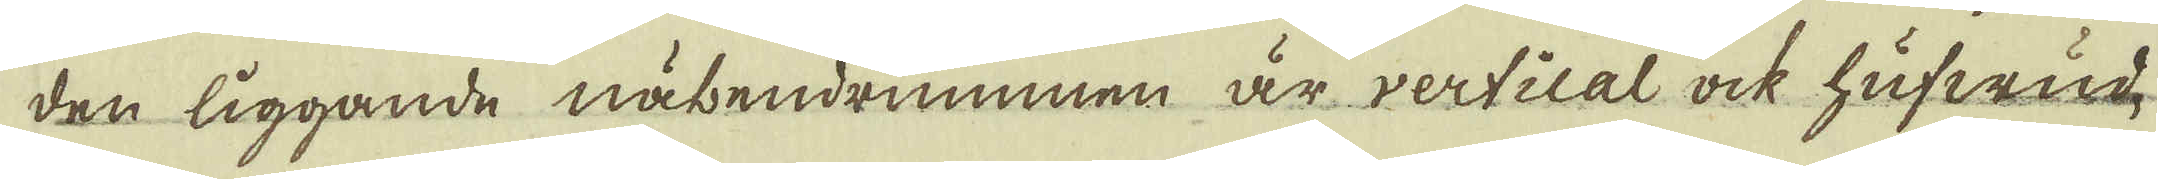den liggande näbendrummen är vertical ock hufwud-
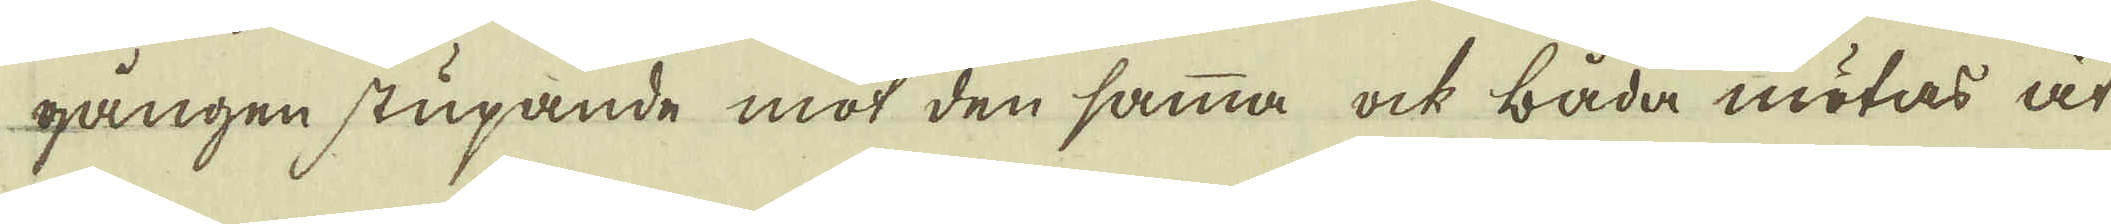gången stupande mot den samma ock båda mötas åt
